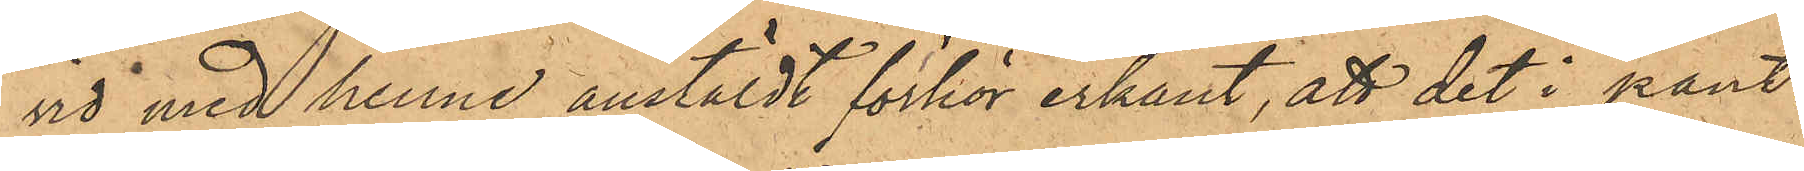vid med henne anstäldt förhör erkänt, att det i pant¬
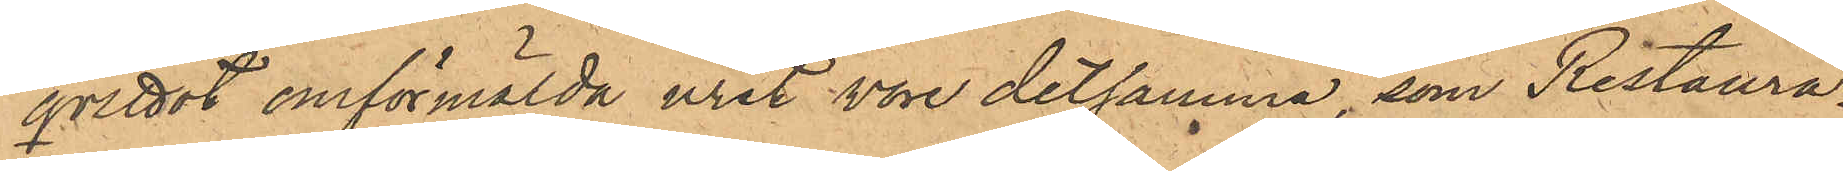qvittot omförmälda uret vore detsamma, som Restaura¬
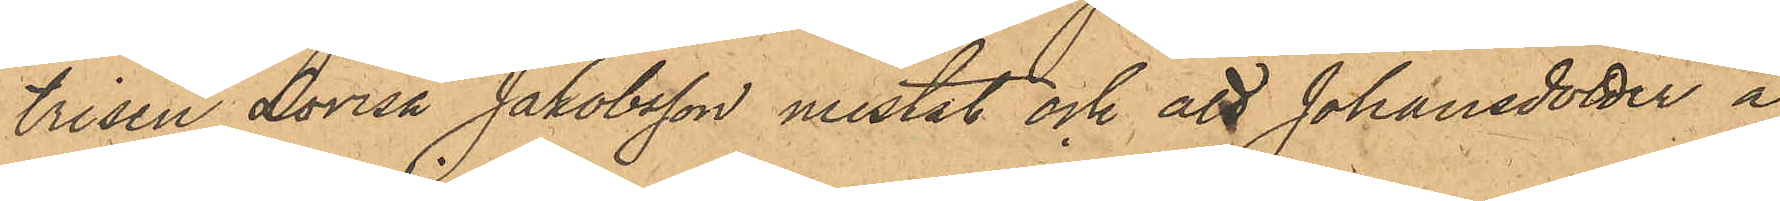trisen Lovisa Jakobsson mistat och att Johansdotter å
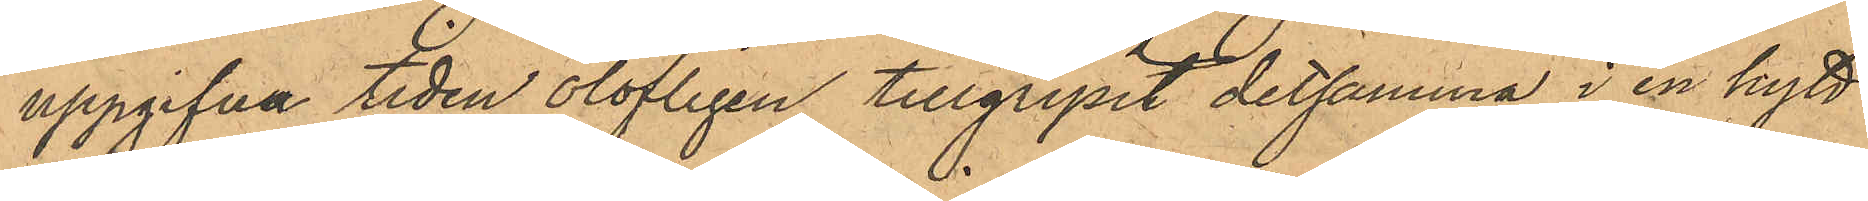uppgifna tiden olofligen tillgripit detsamma i en hytt
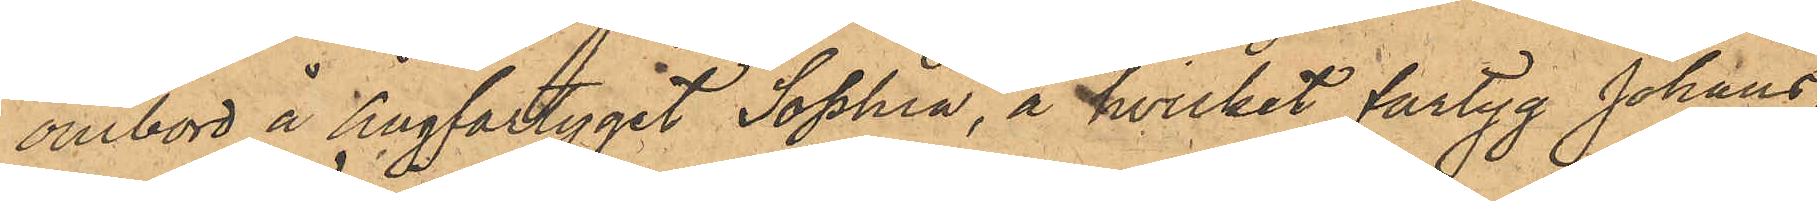ombord å Ångfartyget "Sophia", å hvilket fartyg Johans¬
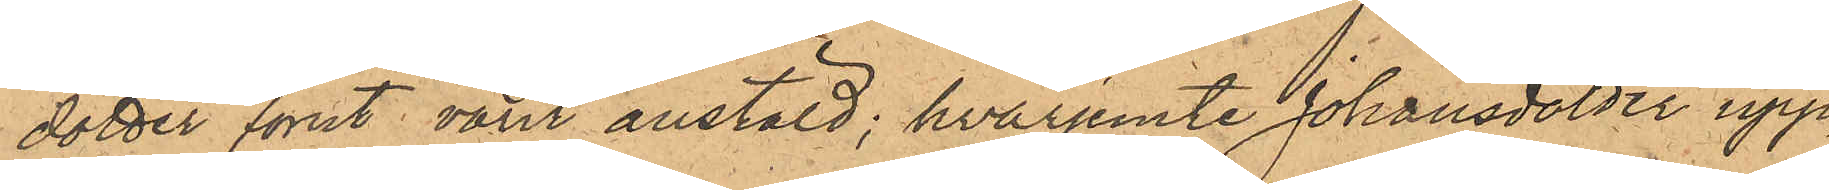dotter förut varit anstäld; hvarjemte Johansdotter upp¬
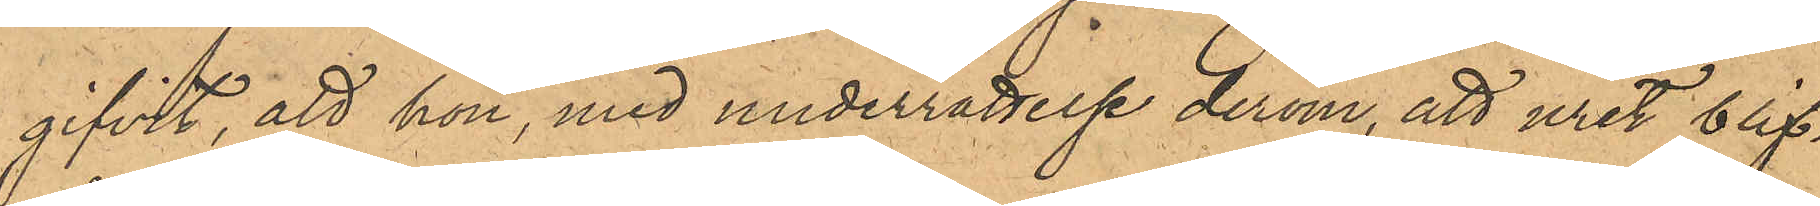gifvit, att hon, med underrättelse derom, att uret blif¬
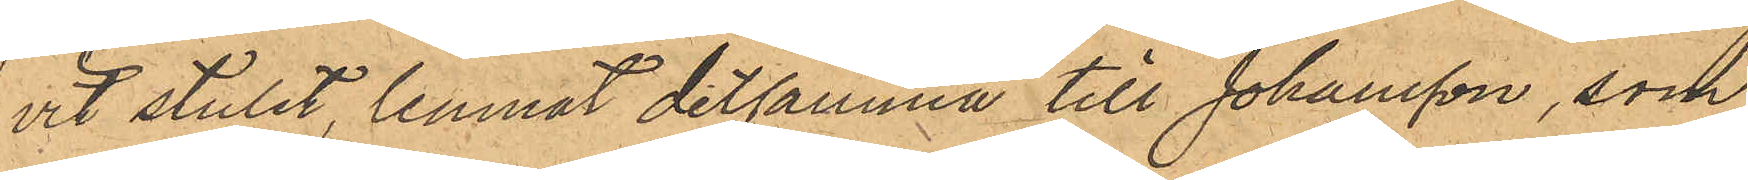vit stulet, lemnat detsamma till Johansson, som
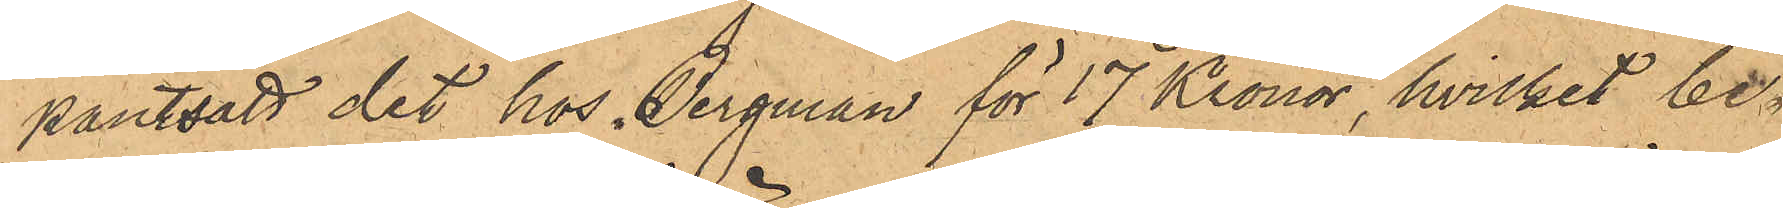pantsatt det hos Bergman för 17 Kronor, hvilket be¬
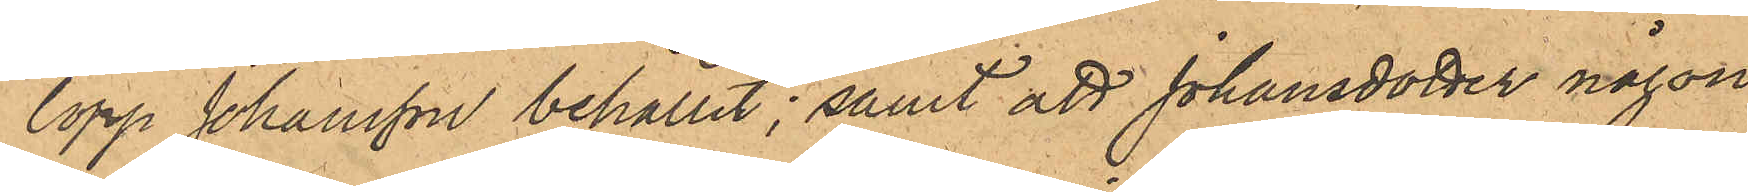lopp Johansson behållit; samt att Johansdotter någon
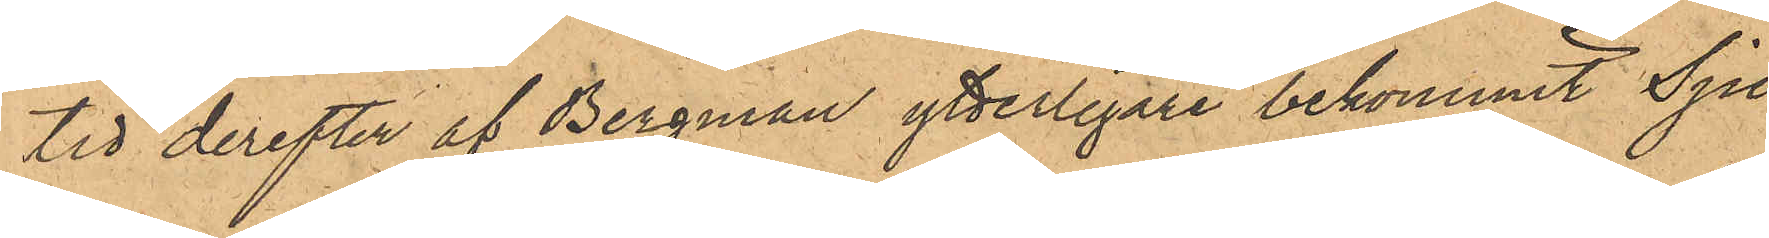tid derefter af Bergman ytterligare bekommit Sju
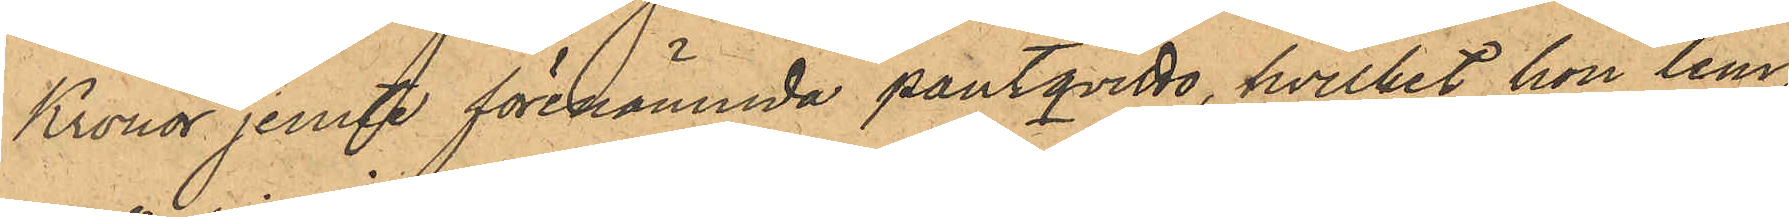Kronor jemte förenämnda pantqvitto, hvilket hon lem¬
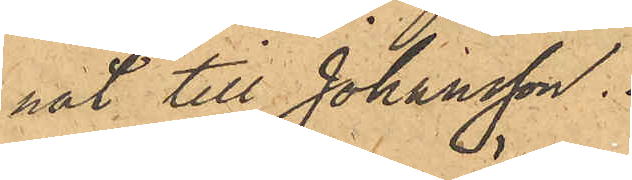nat till Johansson.
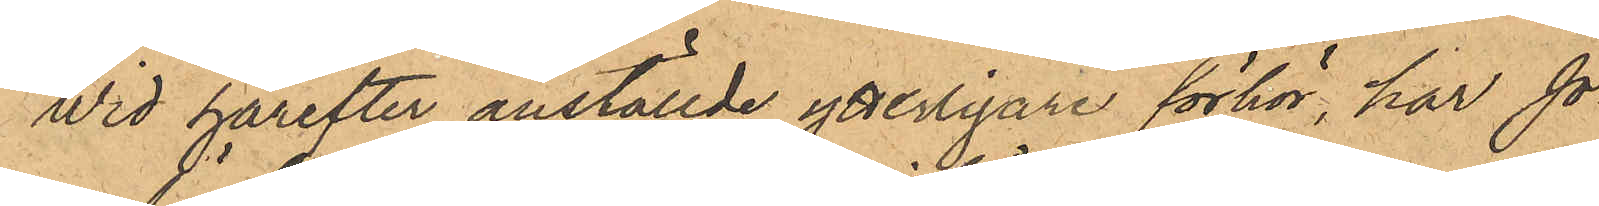Wid härefter anställde ytterligare förhör, har Jo¬
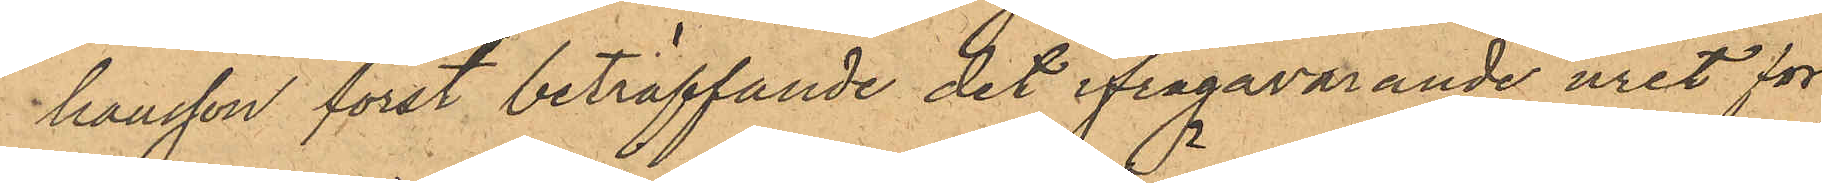hansson först beträffande det ifrågavarande uret för¬
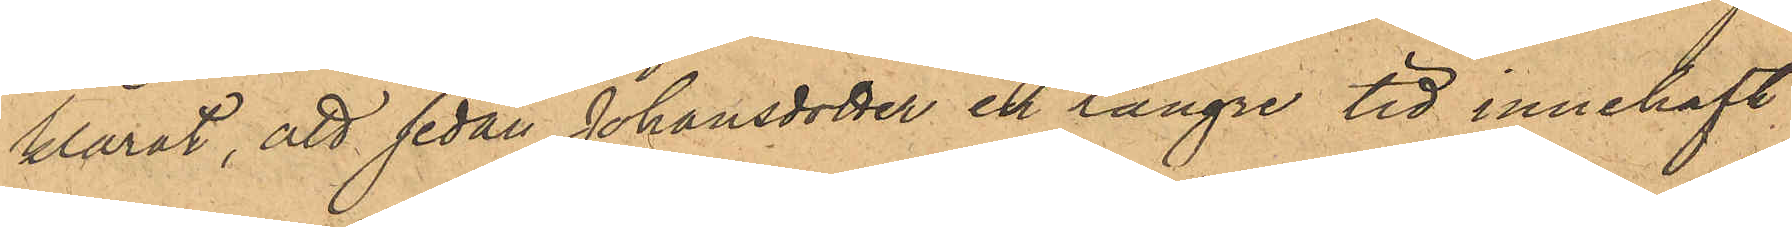klarat, att sedan Johansdotter en längre tid innehaft
